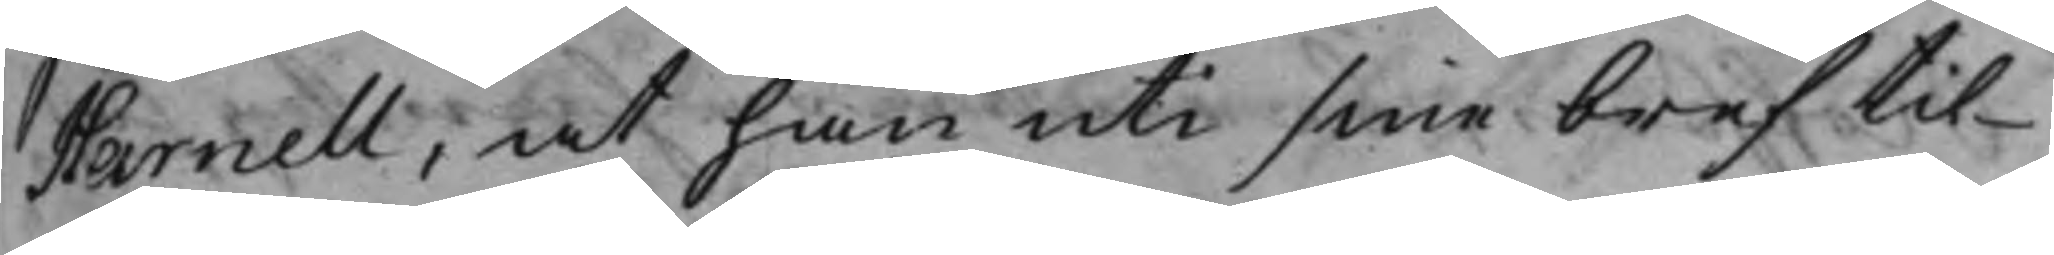Harnell, at han uti sine bref til
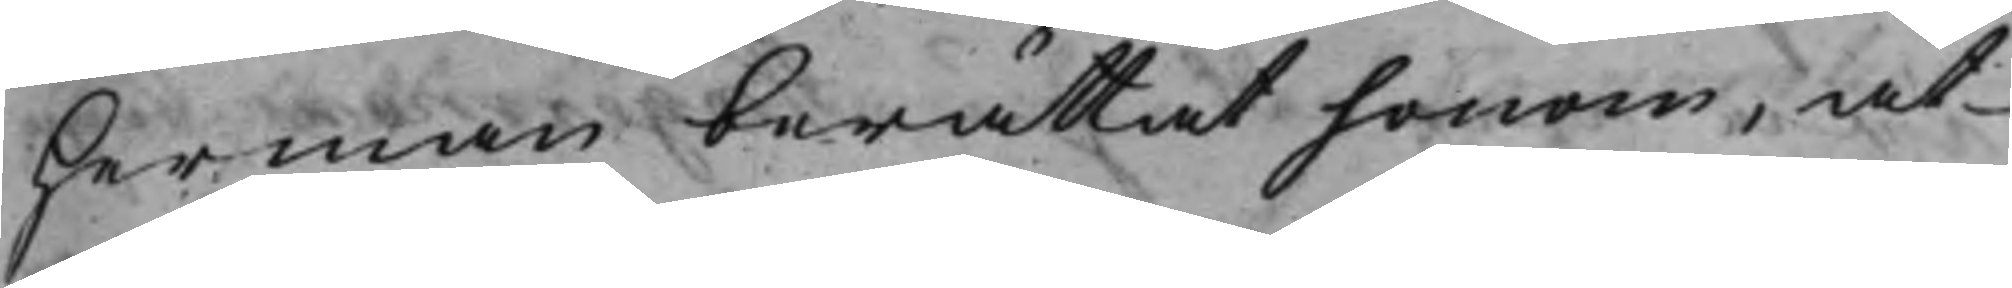Herman berättat honom, at
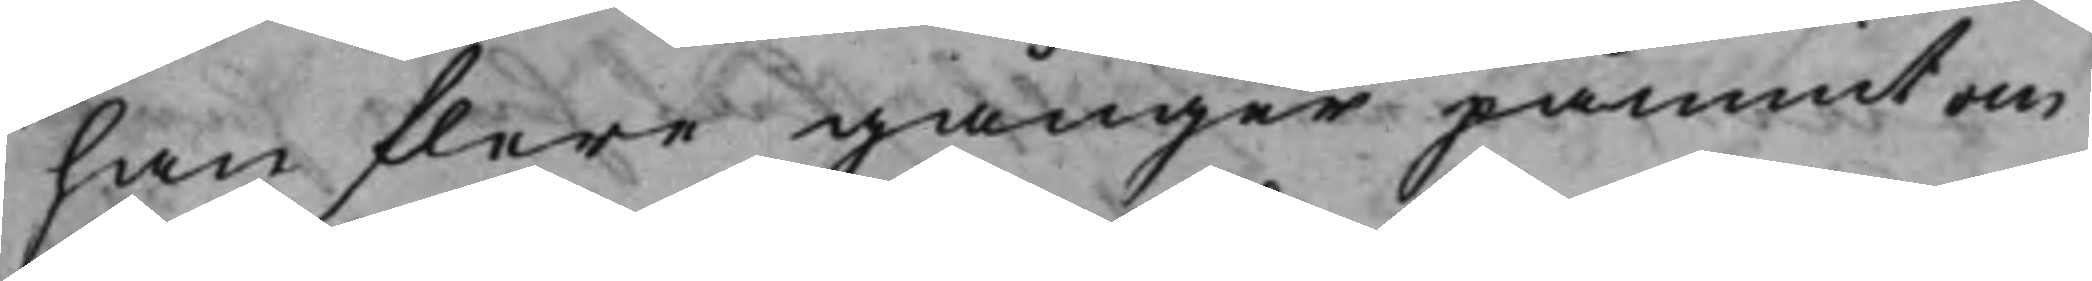han flere gånger påmint om
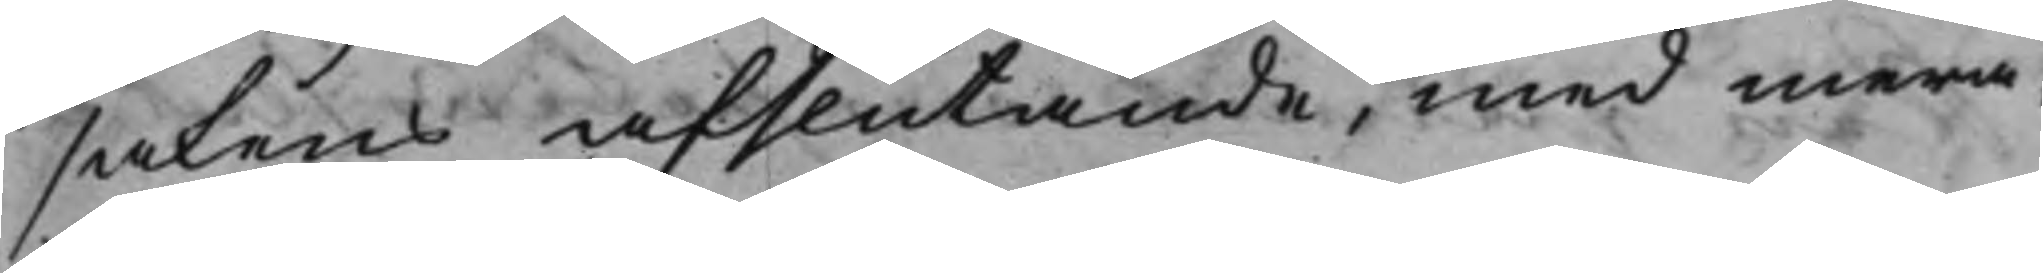sakens afslutande, med mera:
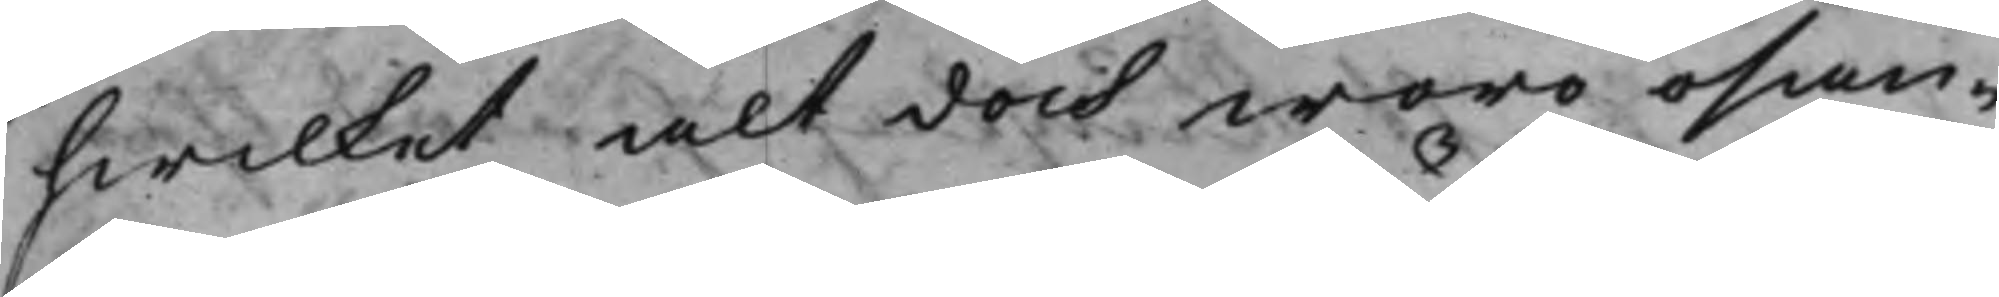hwilket alt doch woro osan¬
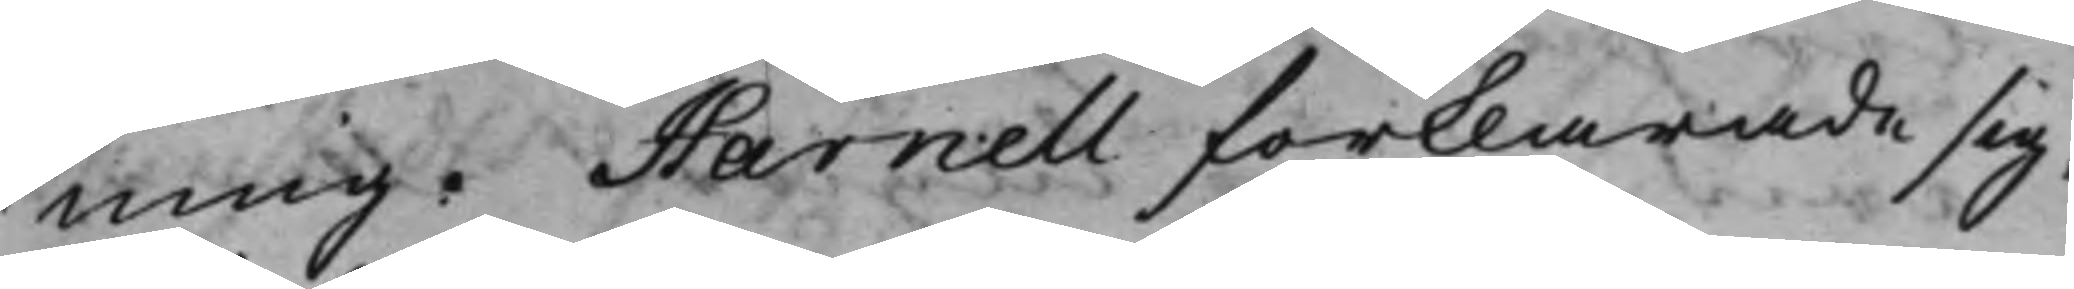ning. Harnell förklarade sig,
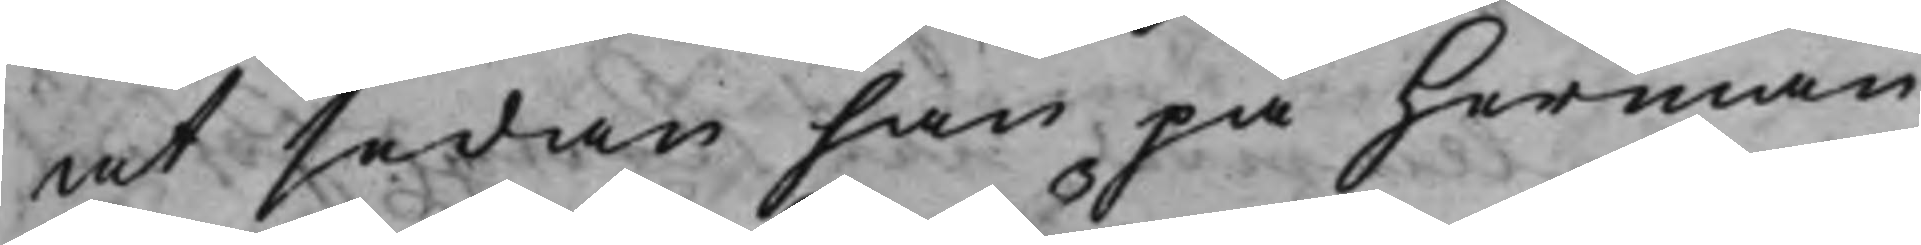at sedan han på Herman
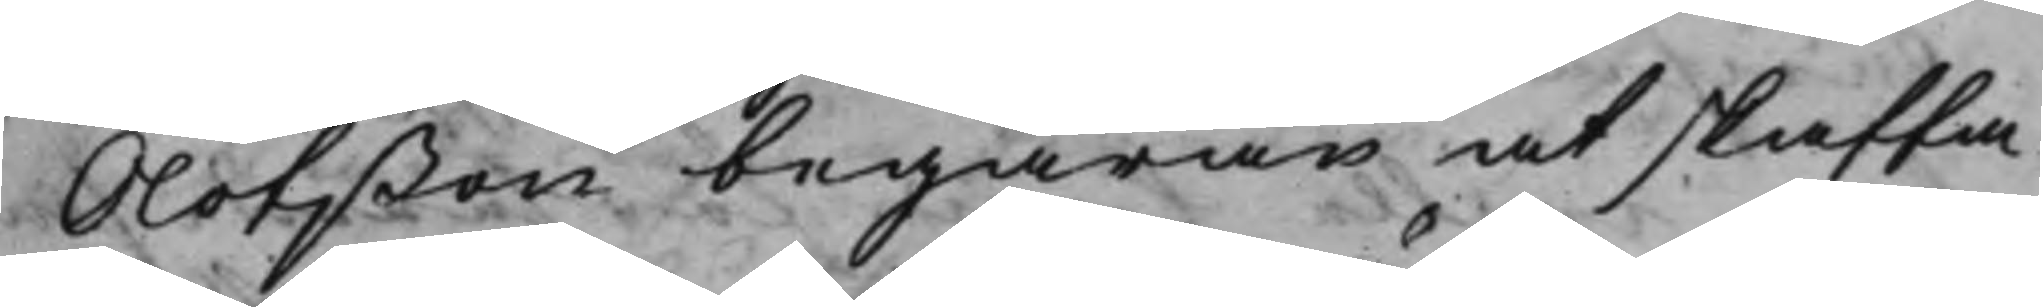Olofßon begäran at skaffa
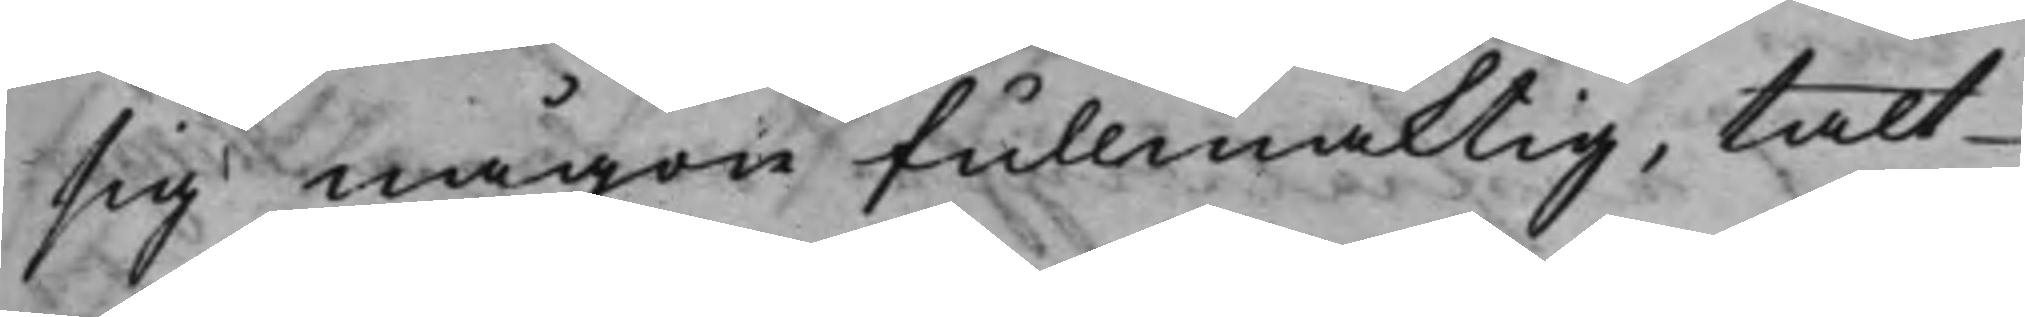sig någon fullmäktig, talt
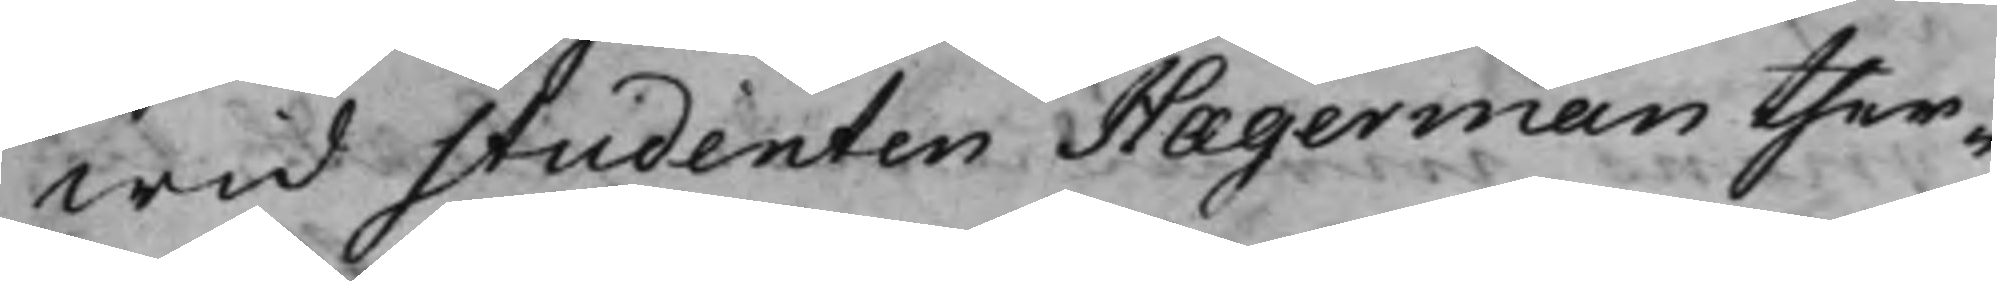wid Studenten Hægerman ther¬
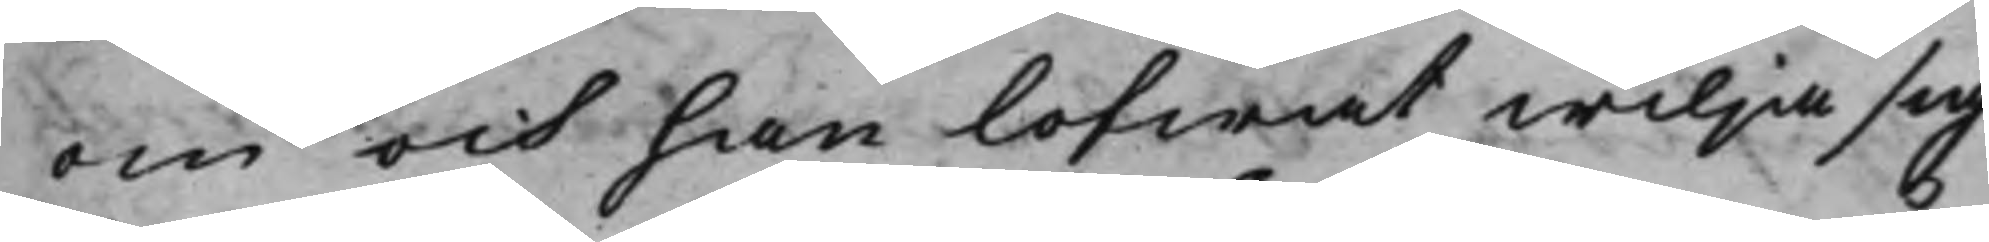om och han lofwat wilja sig
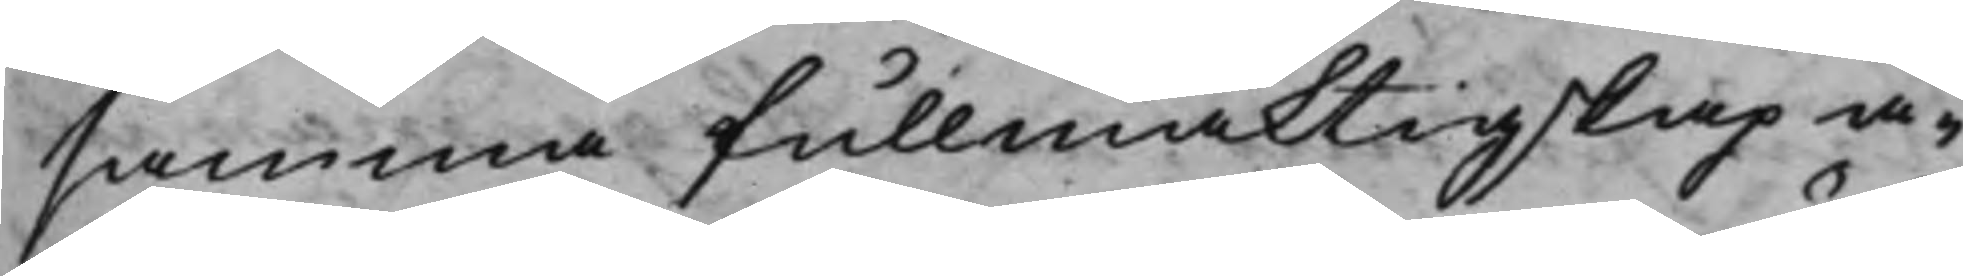samma fullmäktigskap å¬
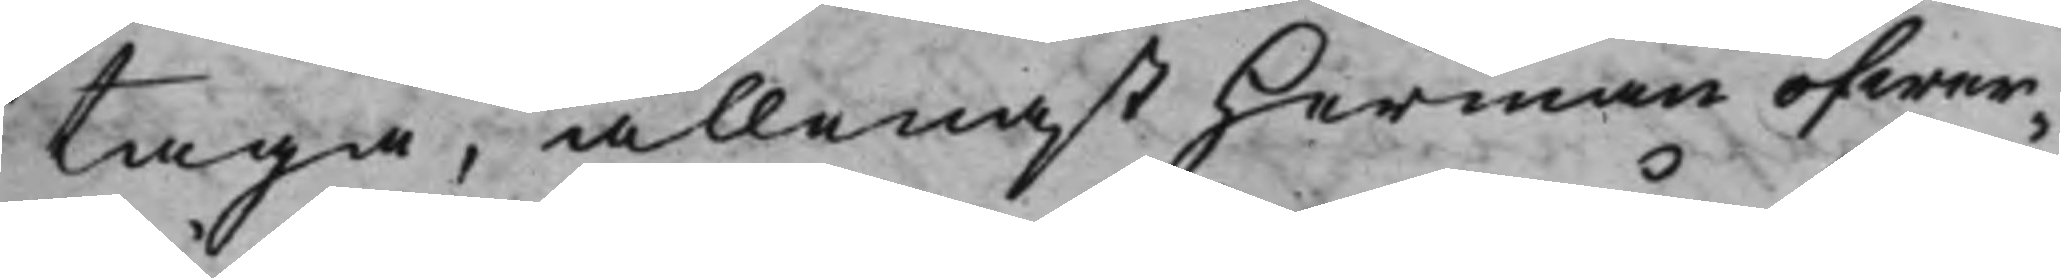taga, allenast Herman öfwer¬
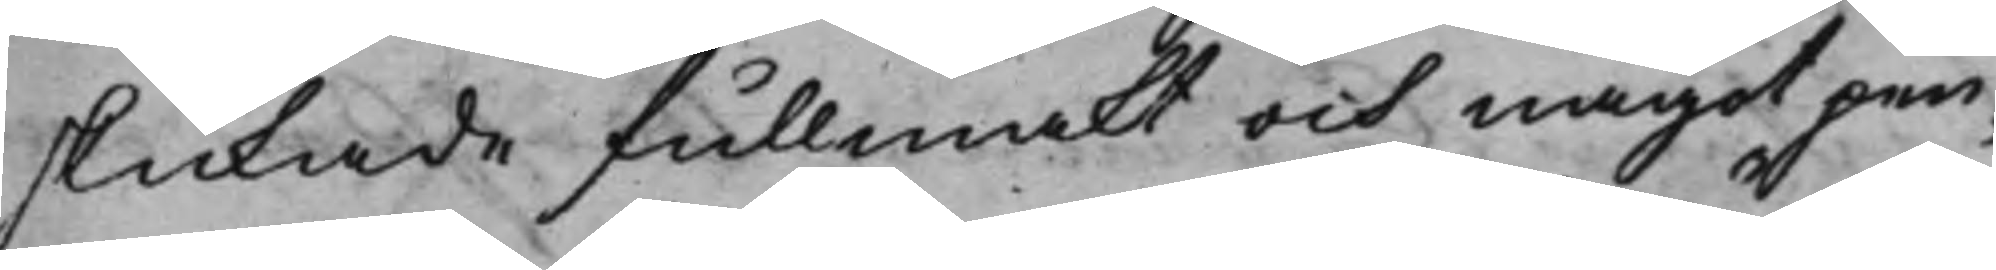skickade fullmakt och något pen¬
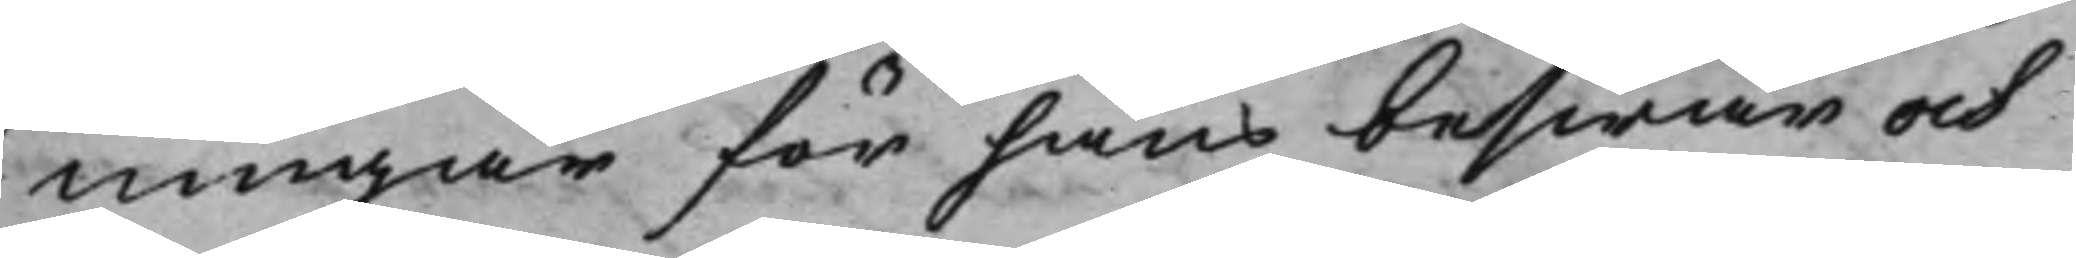ningar för hans beswär och
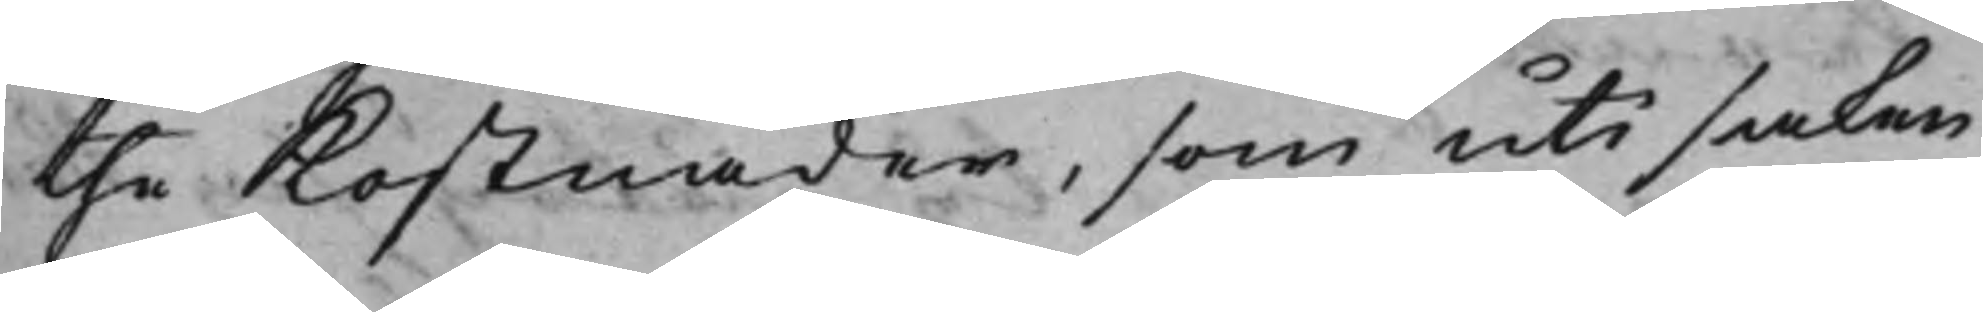the Kostnader, som uti saken
